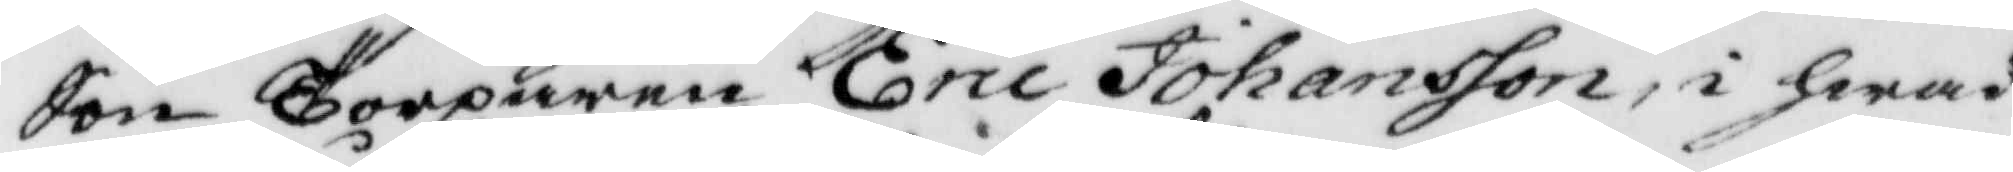Son Torparen Eric Johansson, i hwad
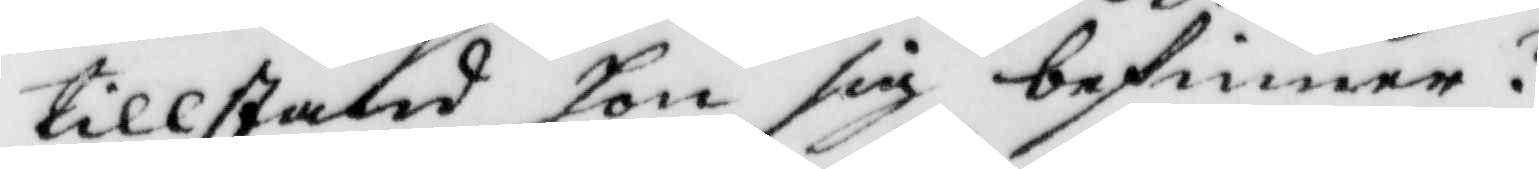tillstånd hon sig befinner?
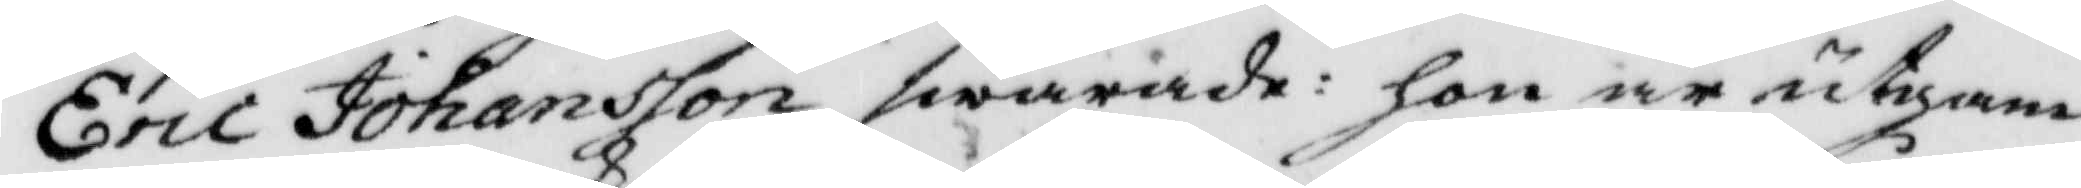Eric Johansson swarade: hon är utgam¬
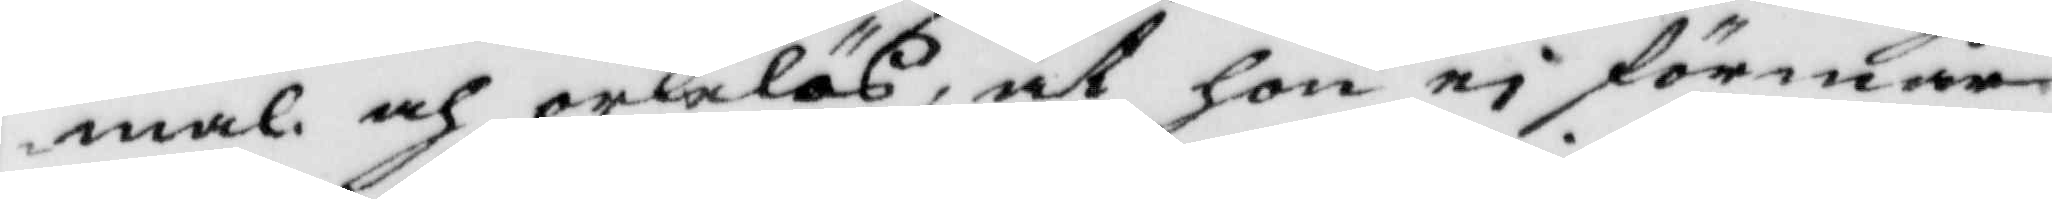mal och orkelös, at hon ei förmår
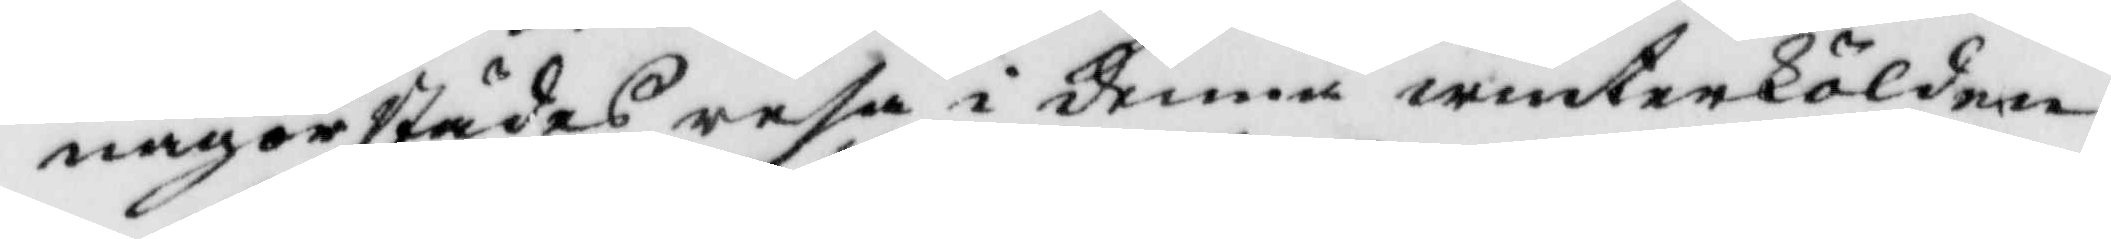någorstädes resa i denne winterkölden.
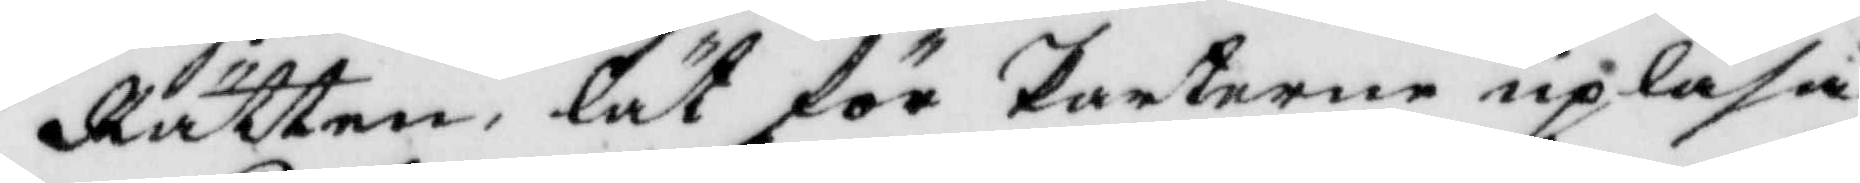Rätten, lät för Parterne upläsa
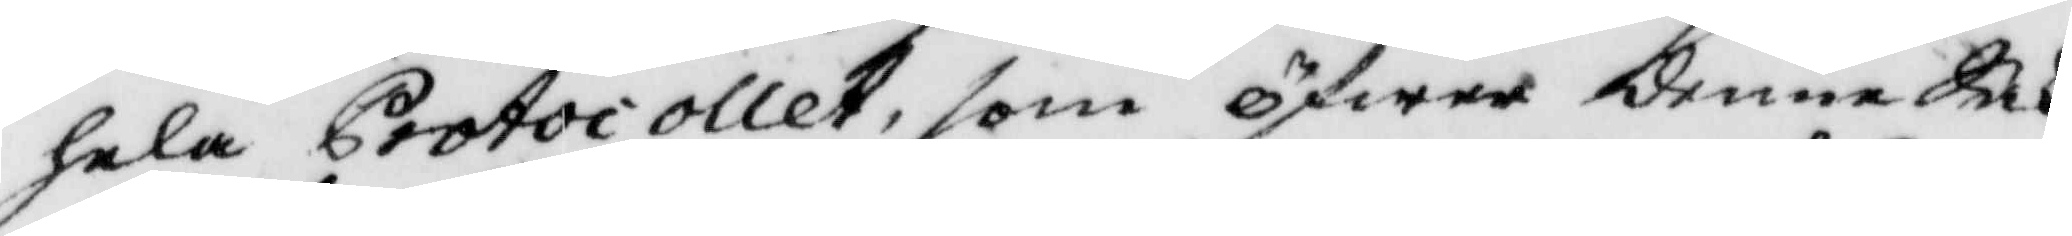hela Protocollet, som öfwer denne Sak
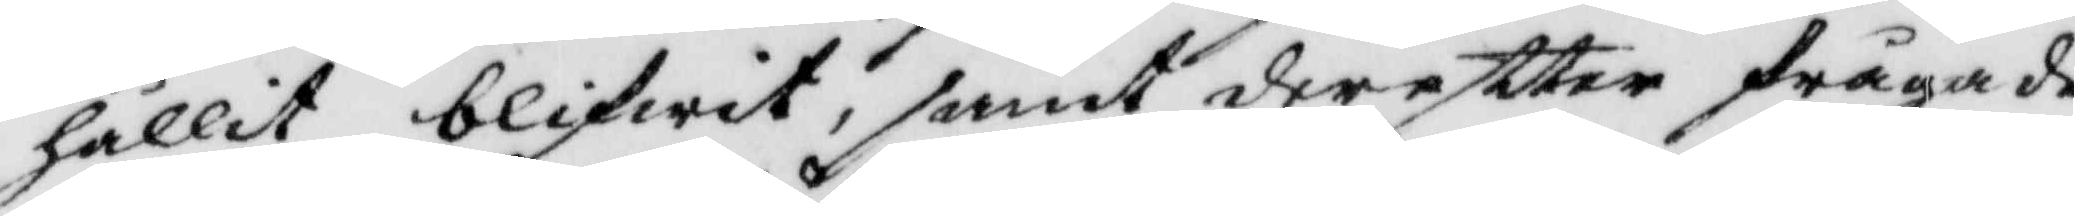hållit blifwit, samt dereftter frågade
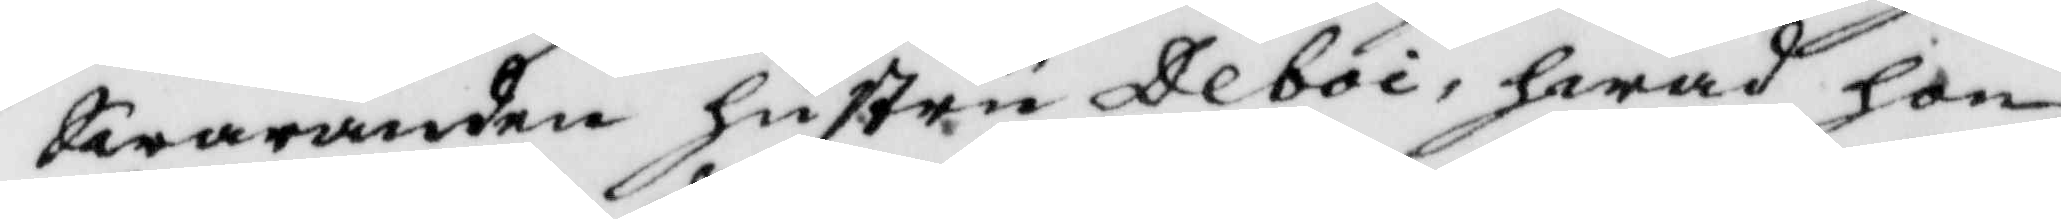Swaranden hustru Deboi, hwad hon
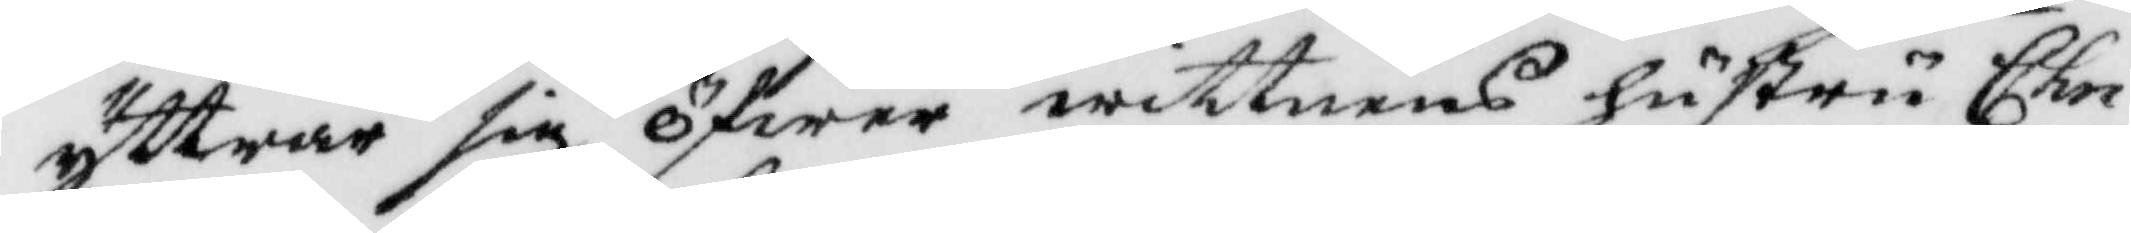yttrar sig öfwer wittnens hustru Chri¬
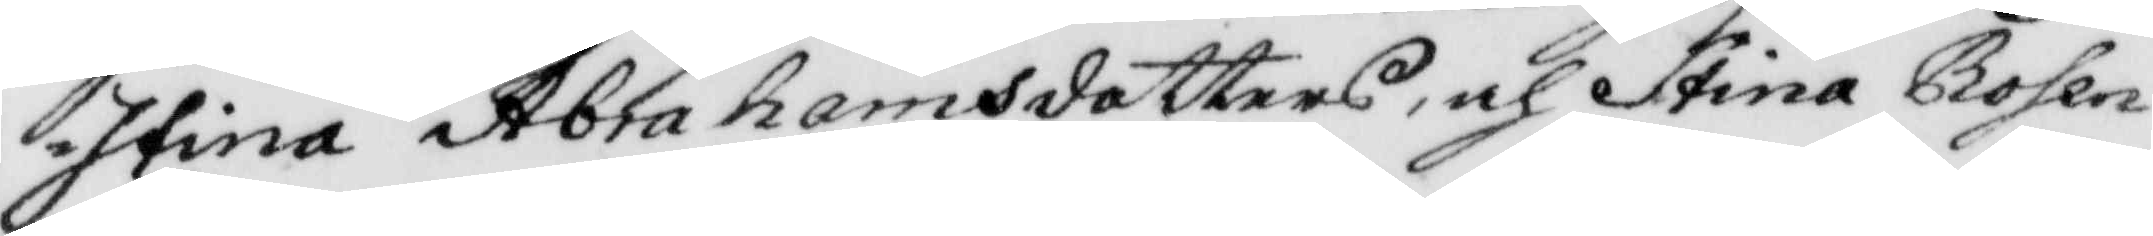stina Abrahamsdotters, och Stina Rosen¬
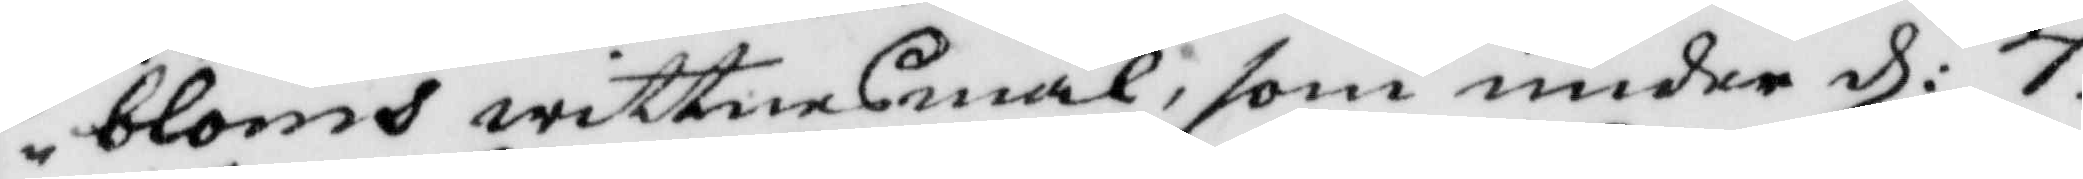bloms wittnesmål, som under d: 7.
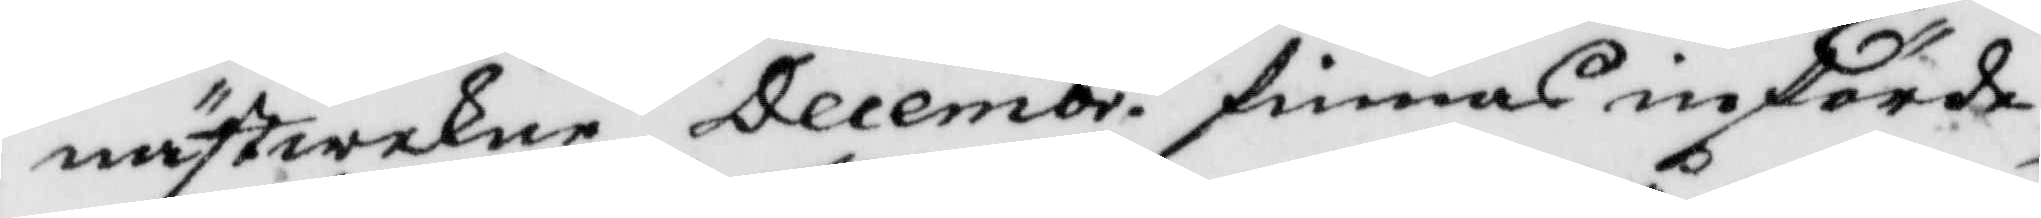nästwekne Decembr. finnes införde,
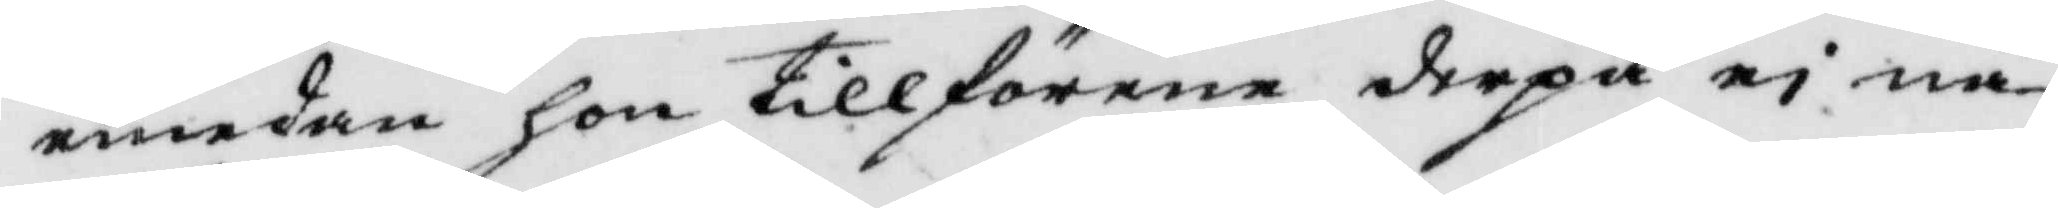emedan hon tillförene derpå ei nå¬
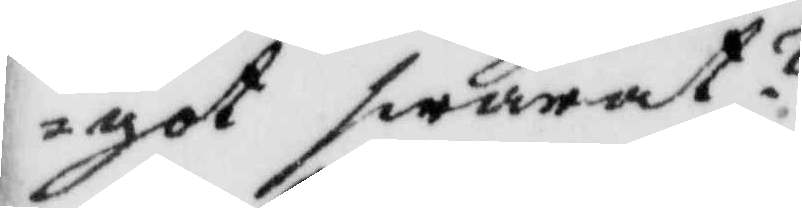got swarat?
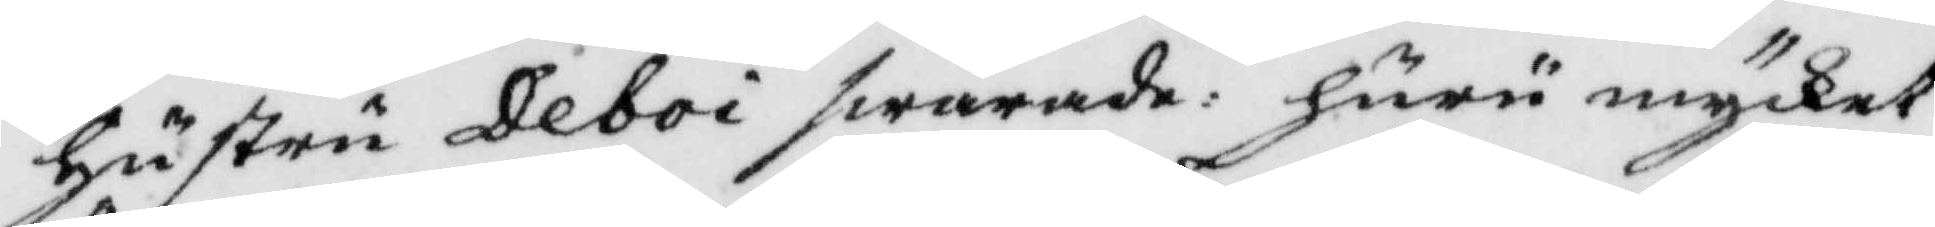hustru Deboi swarade; huru mycket
